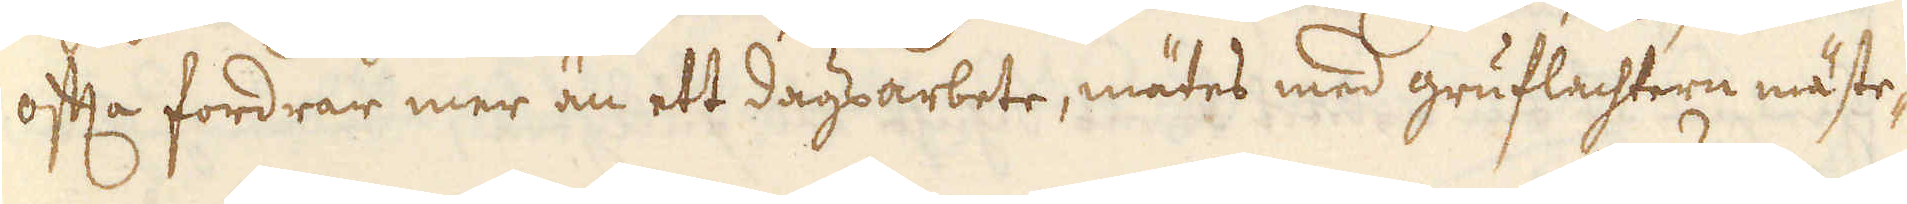ofta fordrar mer än ett dagsarbete, mätes med gruflachtern mäste-
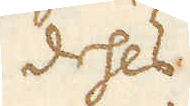dehls
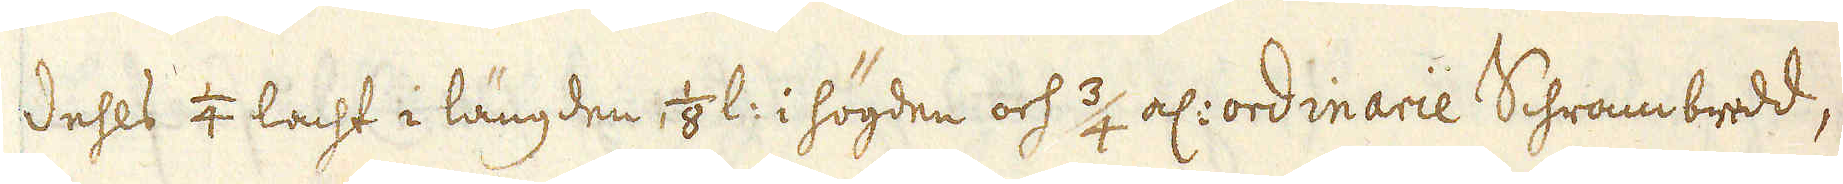dehls 1/4 lacht i längden, 1/8 l: i högden och 3/4 al: ordinarie Schrambredd,
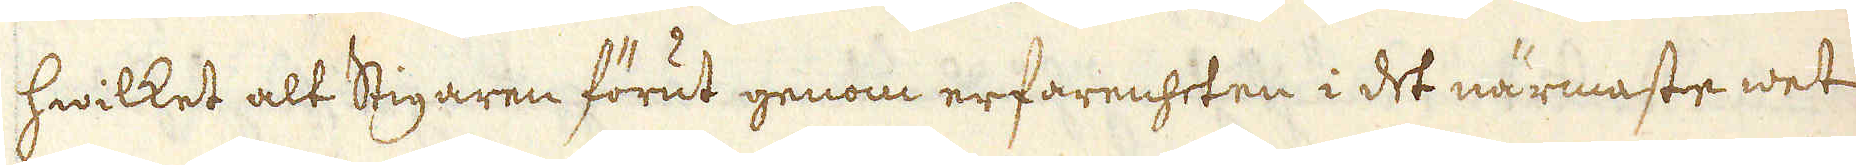hwilket alt Stigaren förut genom erfarenheten i det närmaste wet
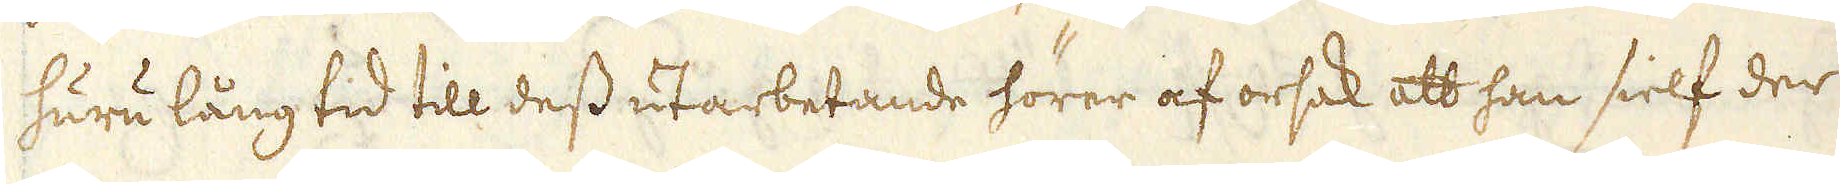huru lång tid till dess utarbetande hörer af orsak att han sielf der
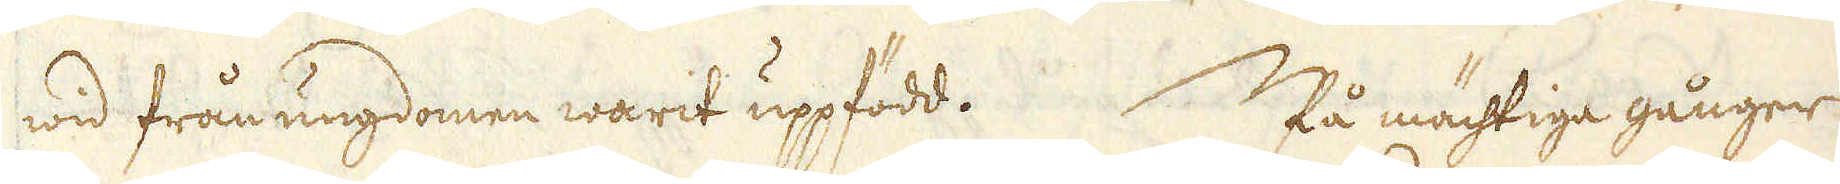wid från ungdomen warit uppfödd. På mächtiga gånger
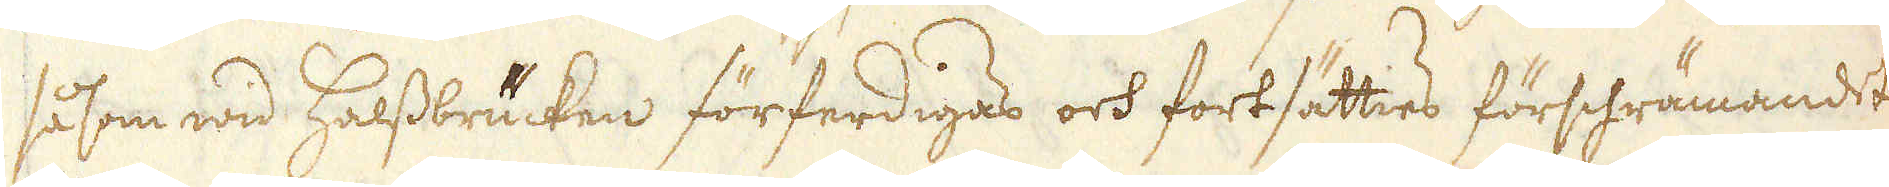såsom wid Halssbrücken förferdigas och fortsätties förschrämandet
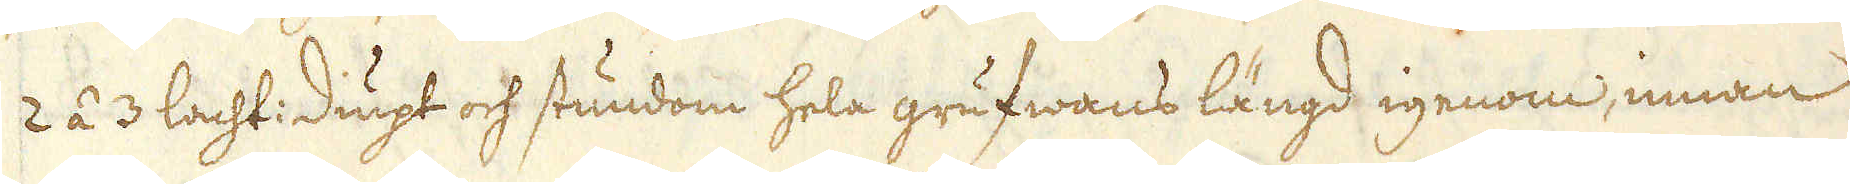2 á 3 lacht: diupt och stundom hela grufwans längd igenom, innan
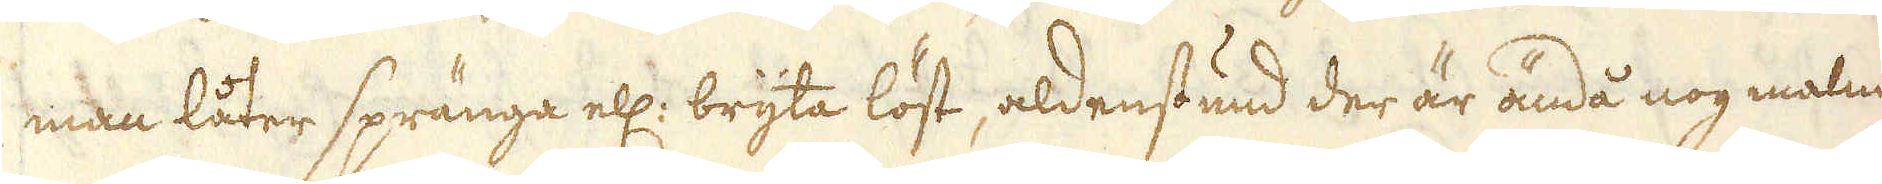man låter spränga ell: bryta löst, aldenstund der är ändå nog malm
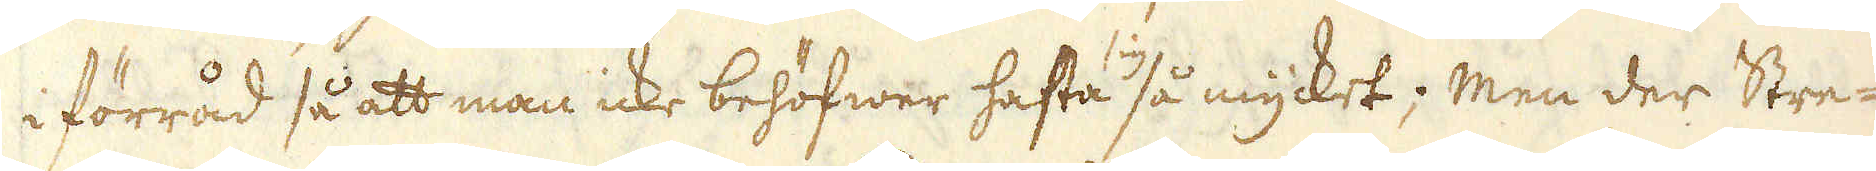i förråd så att man icke behöfwer hasta sig så mycket; Men der Stre-
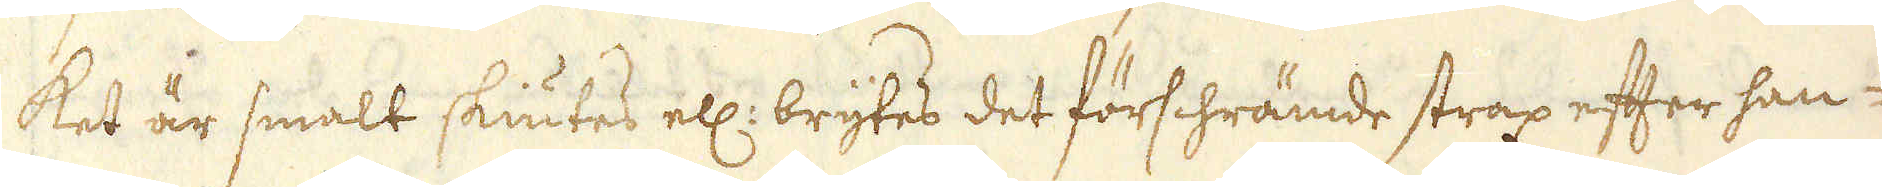ket är smalt skiutes ell: brytes det förschrämde strax efter han-
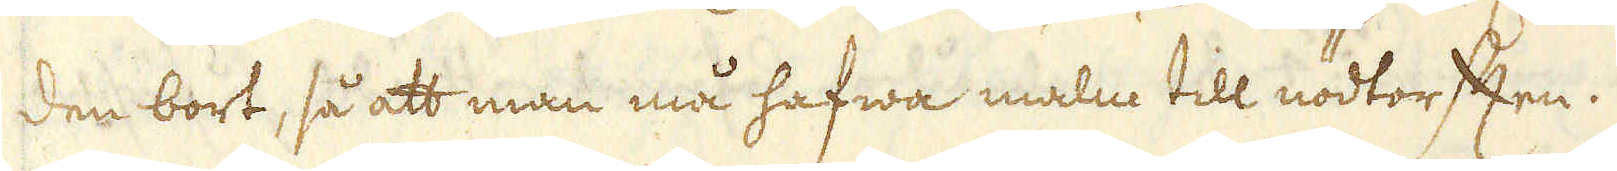den bort, så att man må hafwa malm till nödtorften.
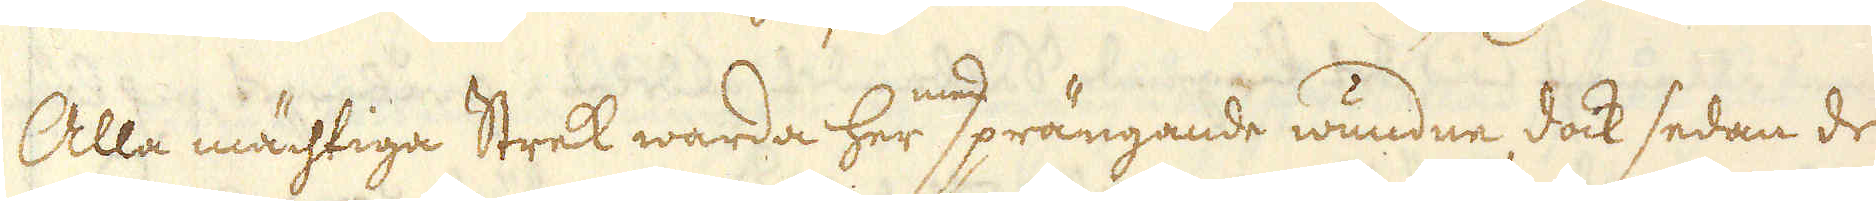Alla mächtiga Strek warda her med sprängande wundne, dock sedan de
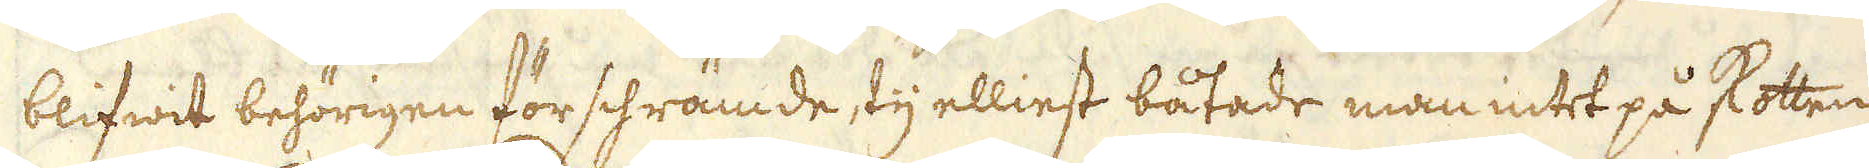blifwit behörigen förschrämde, ty elliest båtade man intet på skotten
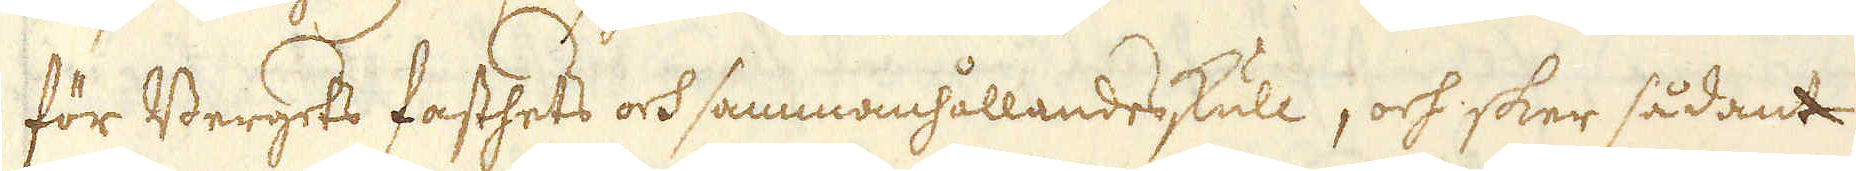för Bergets fasthets och sammanhållandes skull, och sker sådant
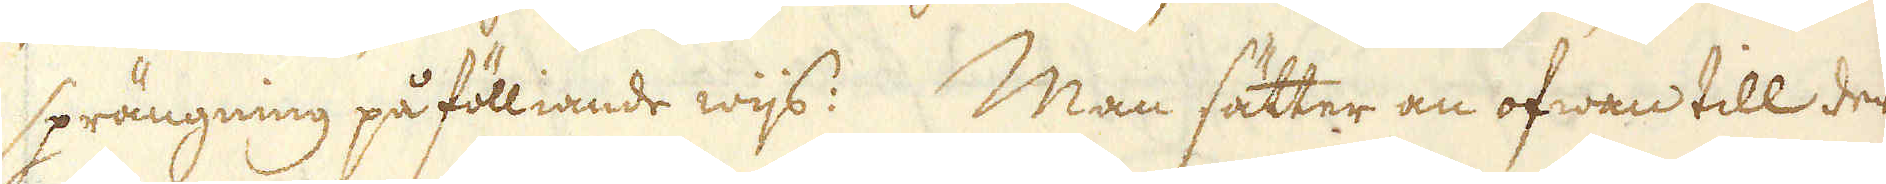sprängning på fölliande wijs: Man sätter an ofwan till der
